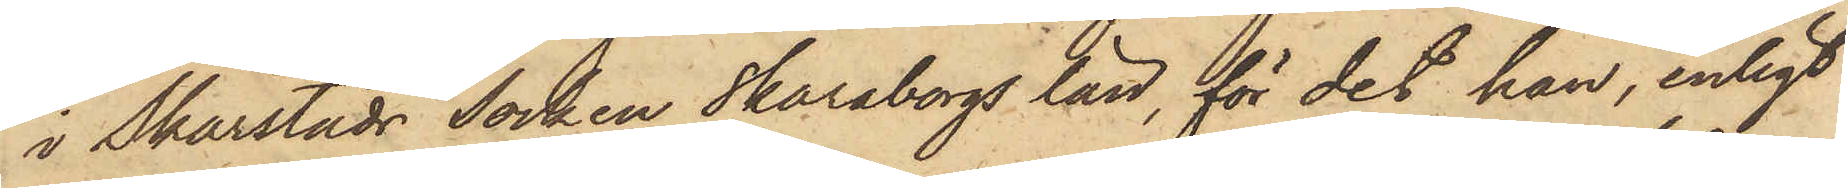i Skarstads Socken Skaraborgs län, för det han, enligt
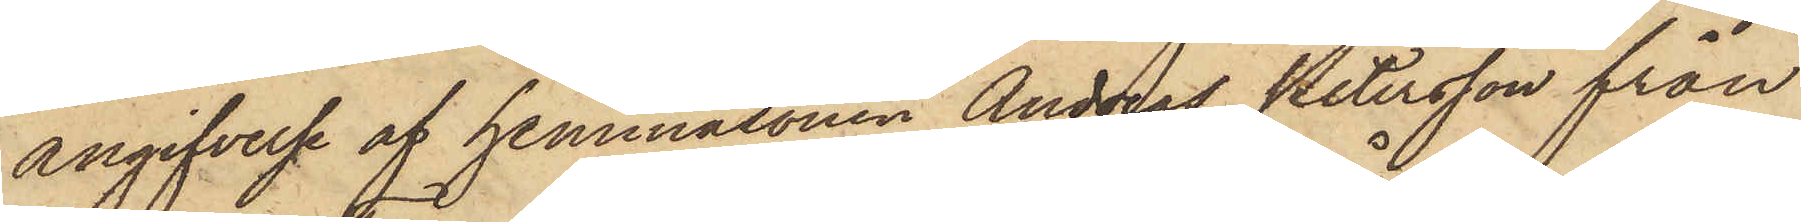angifvelse af hemmasonen Andreas Petersson från
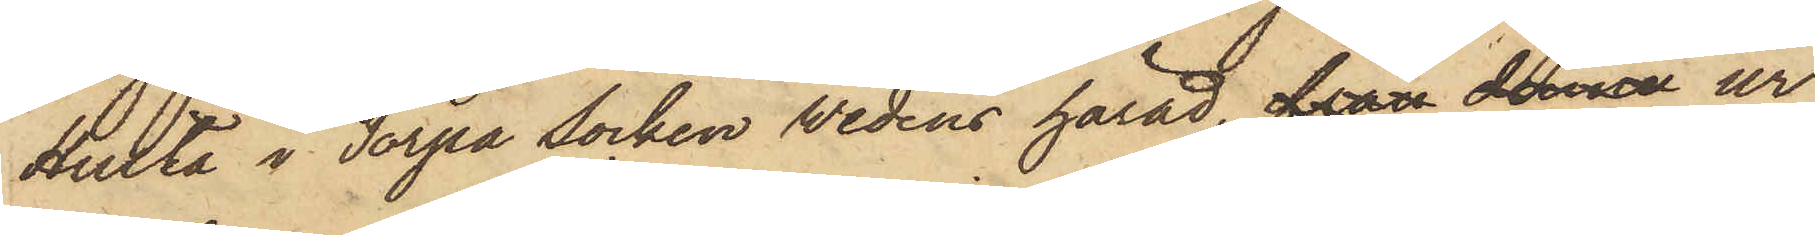Hulta i Torpa socken Wedens härad, från denna ur
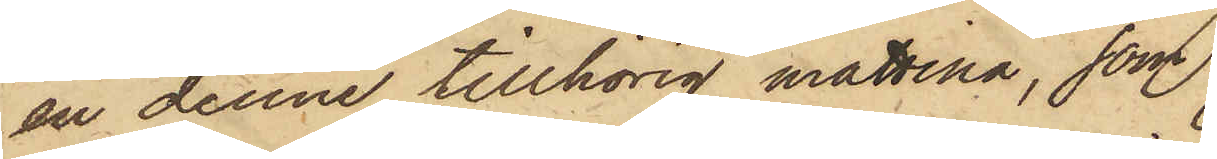en denne tillhörig mattina, som
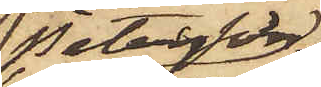Peterson
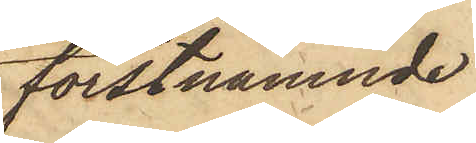förstnämnde
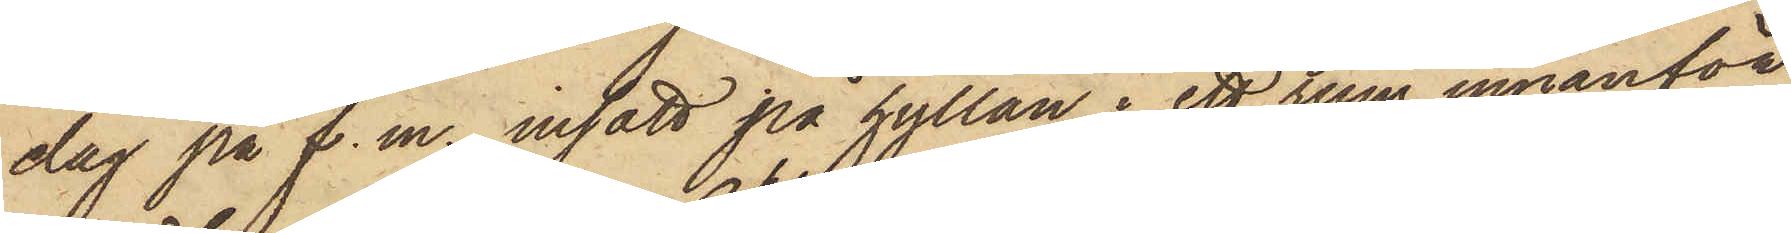dag på f.m. insatt på hyllan i ett rum innanför
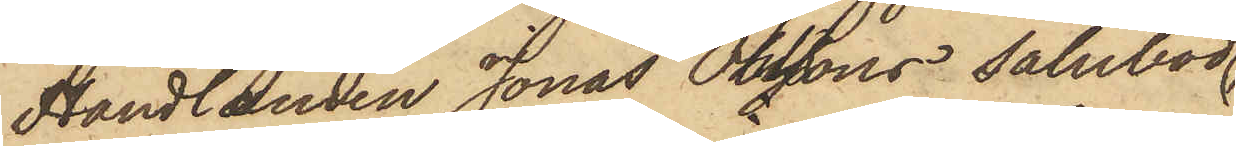Handlanden Jonas Olssons salubod
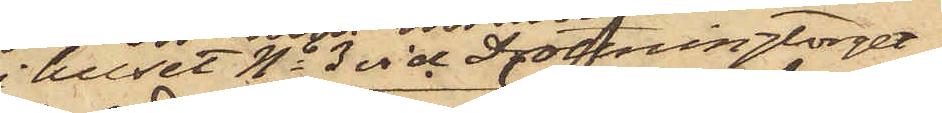i huset No 3 vid Drottningtorget,
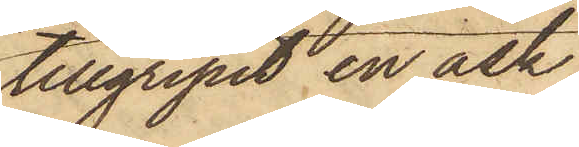tillgripit en ask
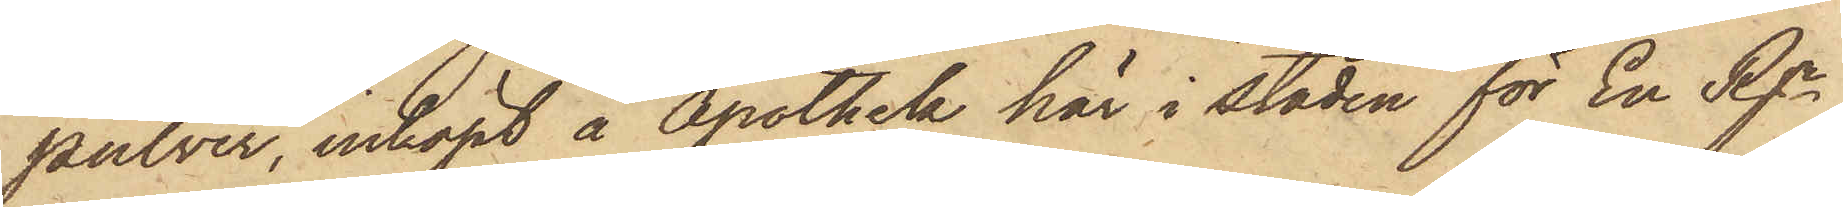pulver, inköpt å Apothek här i staden för En Rgr.
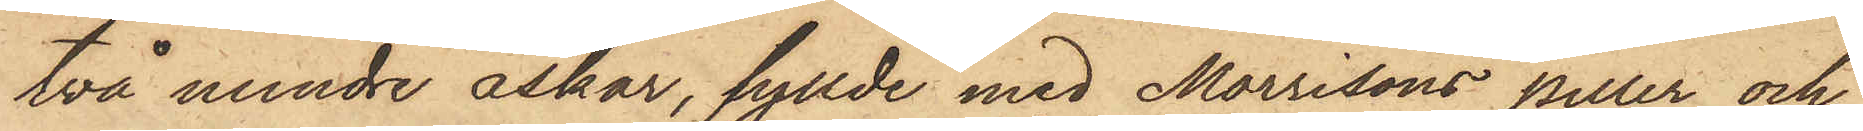två mindre askar, fyllde med Morrisons piller och
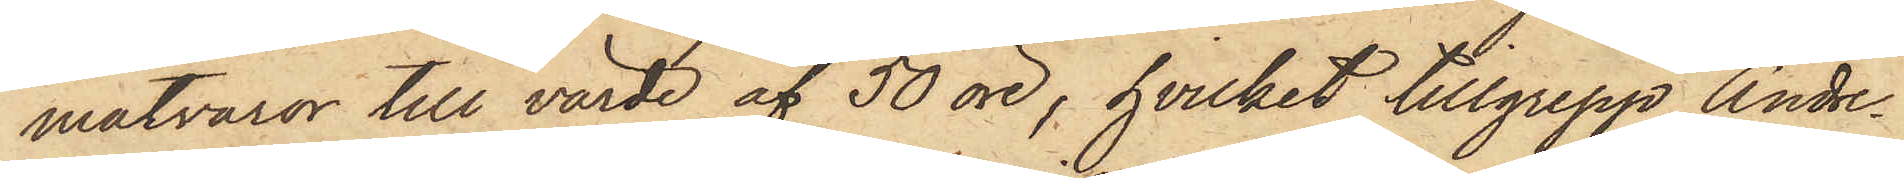matvaror till värde af 50 öre, hvilket tillgrepp Andre¬
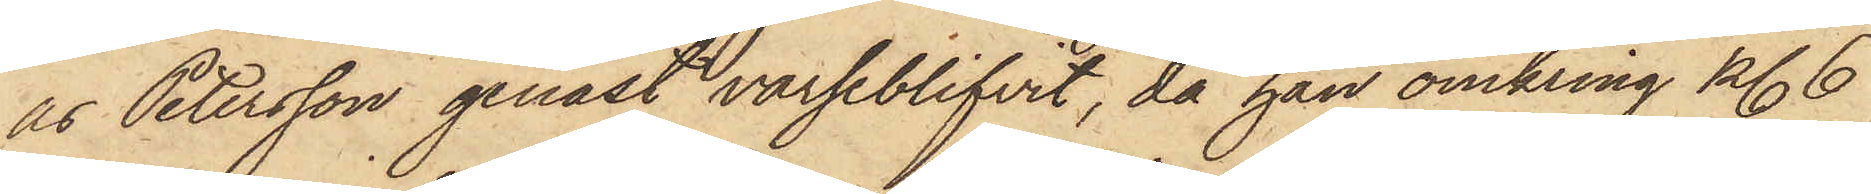as Petersson genast varseblifvit, då han omkring kl. 6
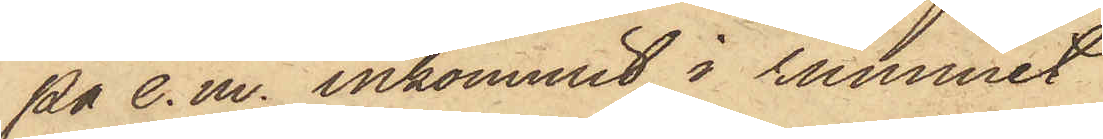på e.m. inkommit i rummet
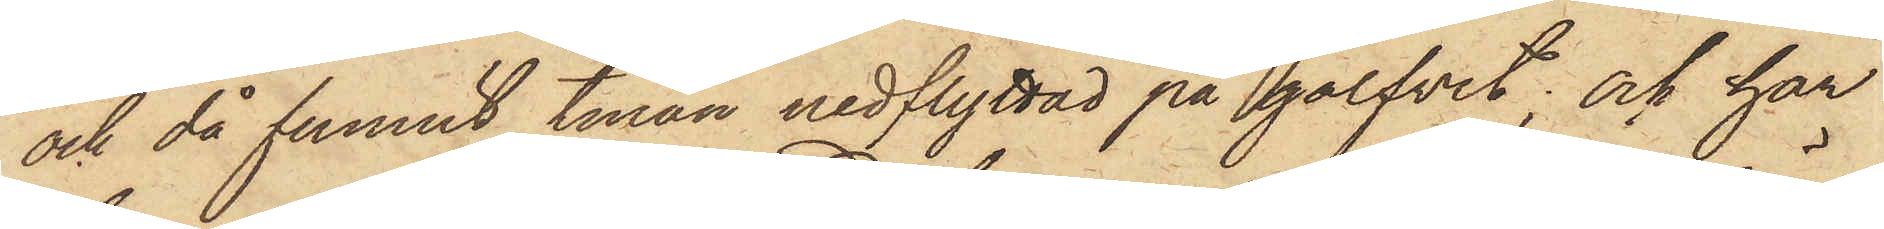och då funnit tinan nedflyttad på golfvet; och har
